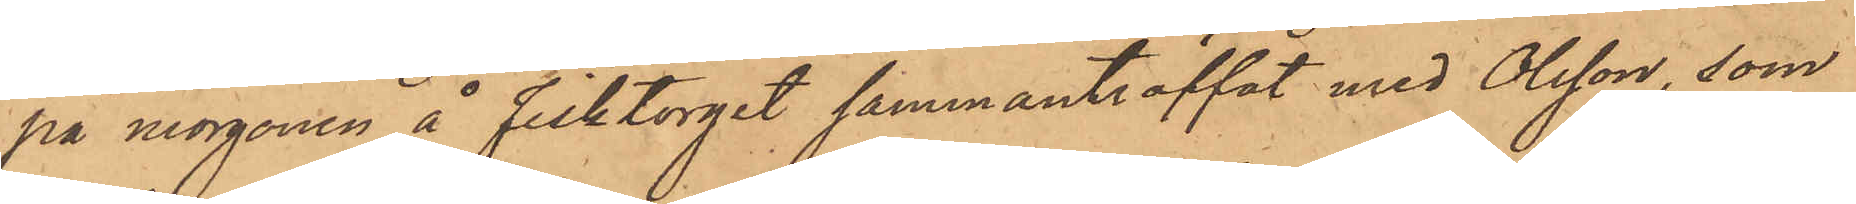på morgonen å Fisktorget sammanträffat med Olsson, som
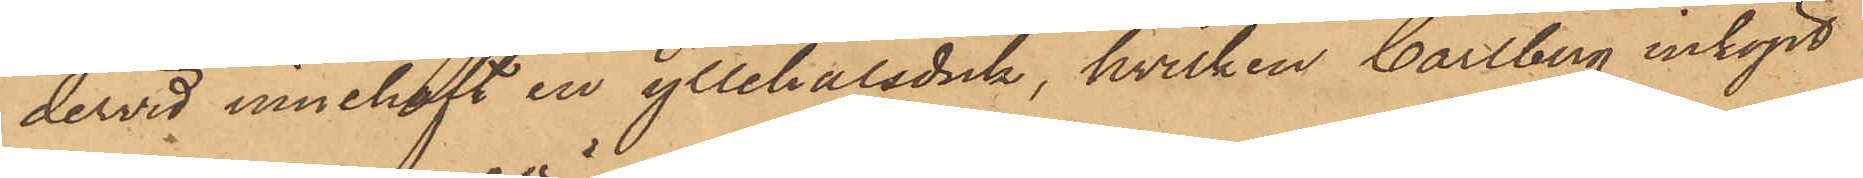dervid innehaft en yllehalsduk, hvilken Carlberg inköpt
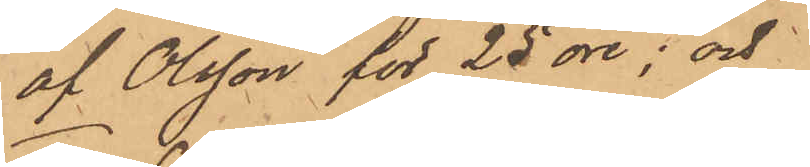af Olsson för 25 öre; och
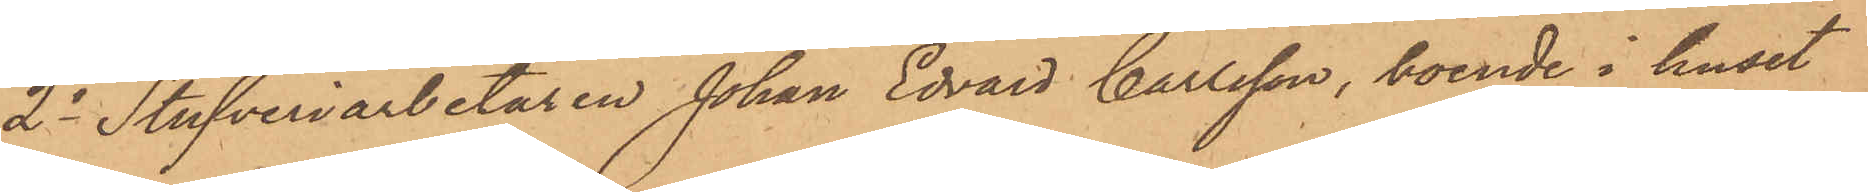2o Stufveriarbetaren Johan Edvard Carlsson, boende i huset
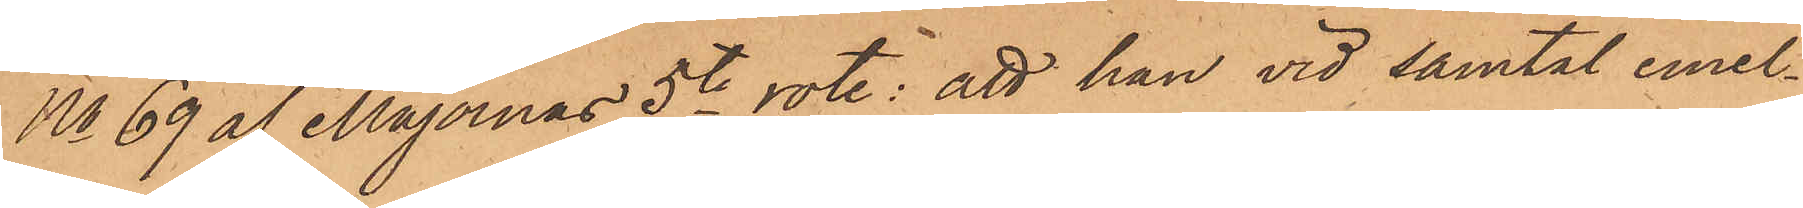No 69 af Majornas 5te rote; att han vid samtal emel¬
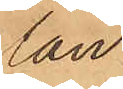lan
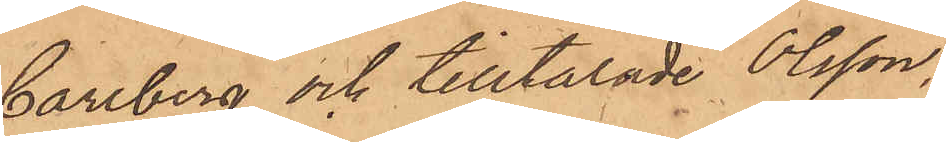Carlberg och tilltalade Olsson,
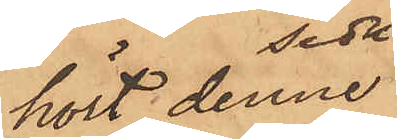hört denne
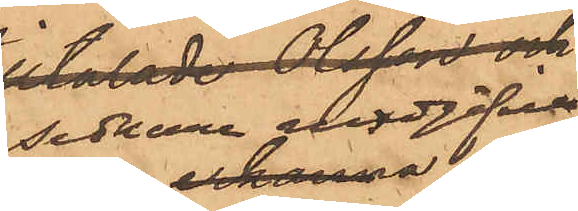sednare uppgifva,
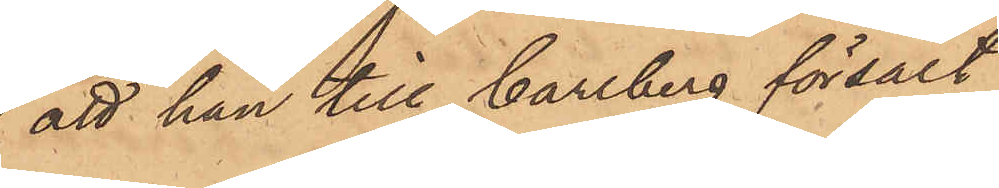att han till Carlberg försålt
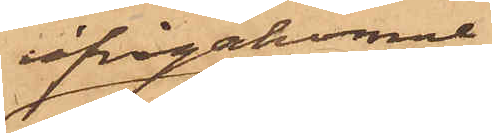ifrågakomne
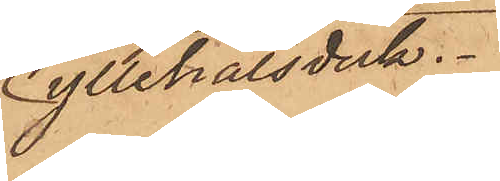yllehalsduk.
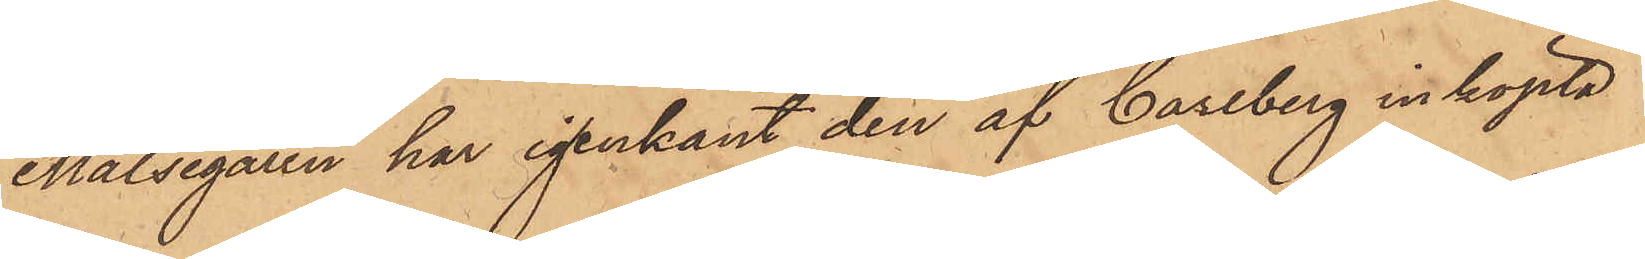Målsegaren har igenkänt den af Carlberg inköpta
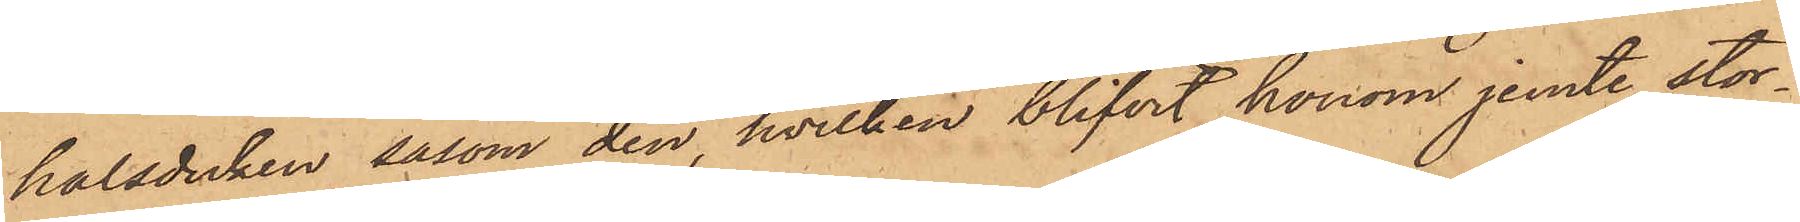halsduken såsom den, hvilken blifvit honom jemte stor¬
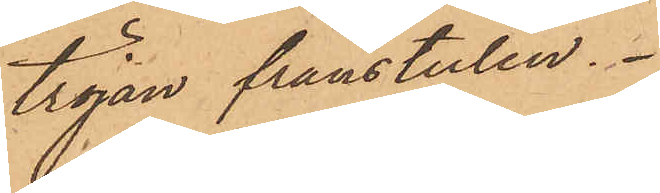tröjan frånstulen.
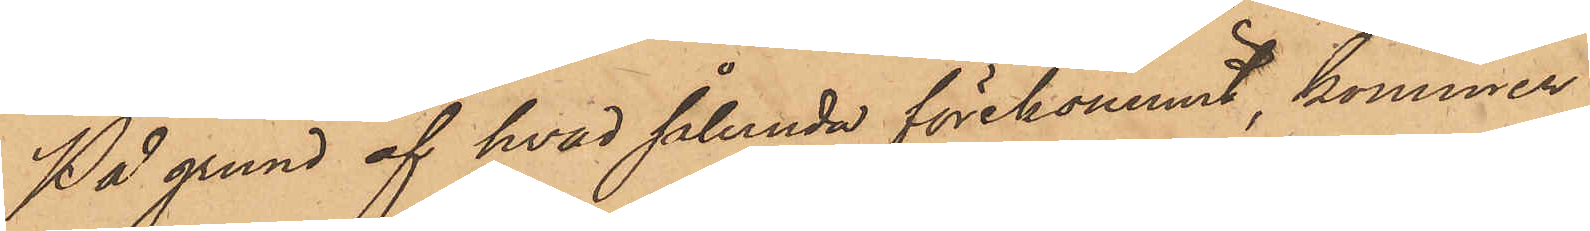På grund af hvad sålunda förekommit, kommer
